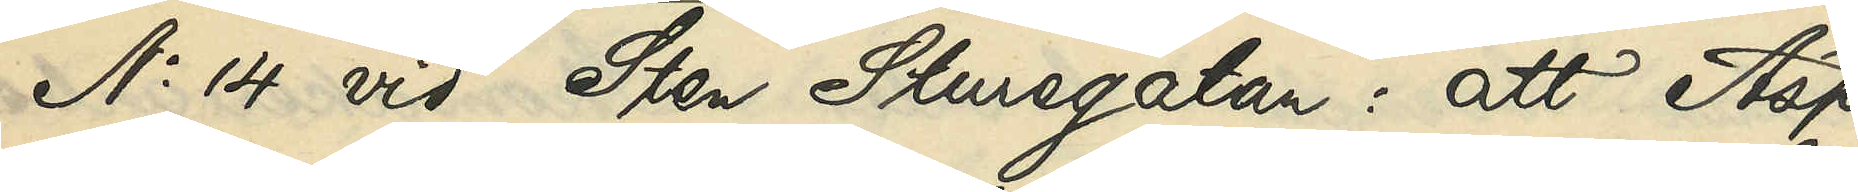No 14 vid Sten Sturegatan: att Asp
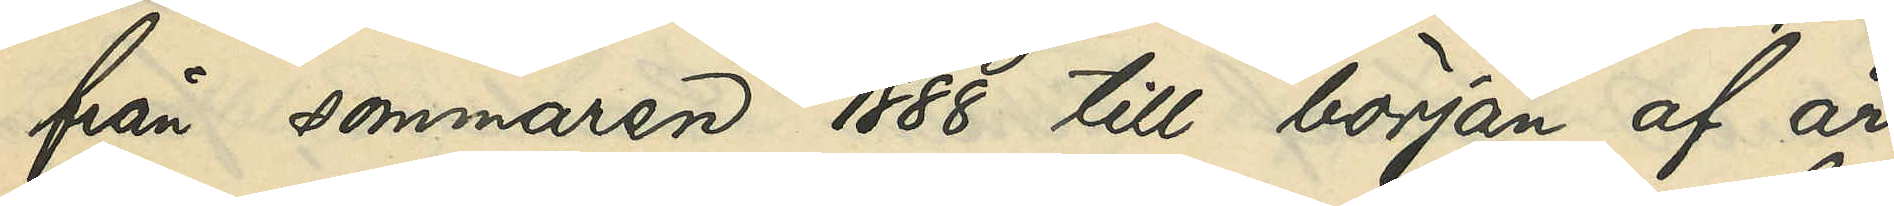från sommaren 1888 till början af år
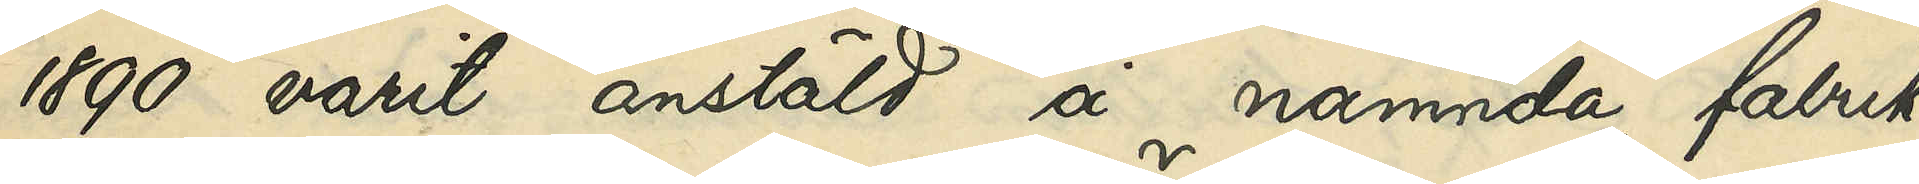1890 varit anstäld å nämnda fabrik,
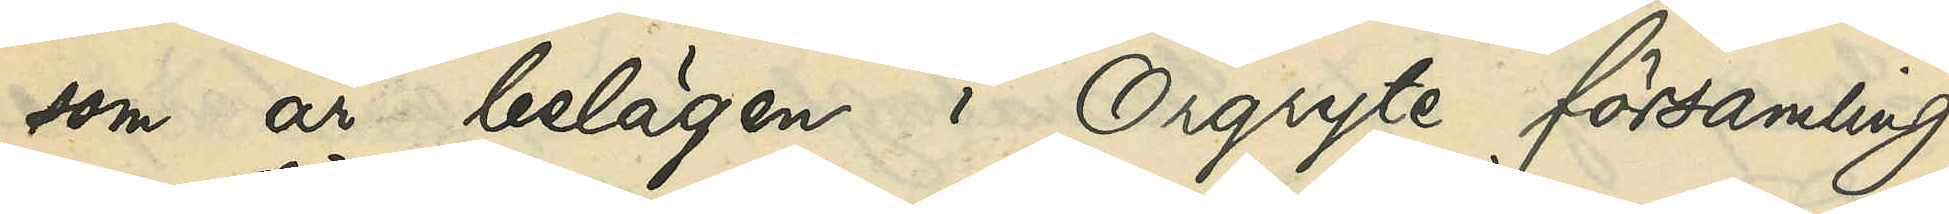som är belägen i Örgryte församling
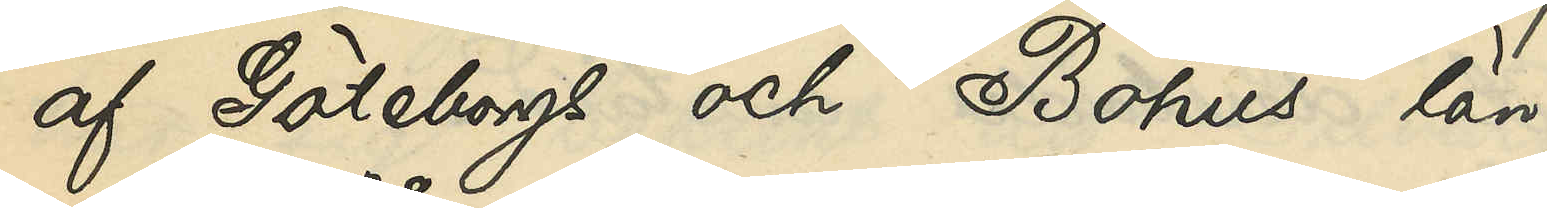af Göteborgs och Bohus län.
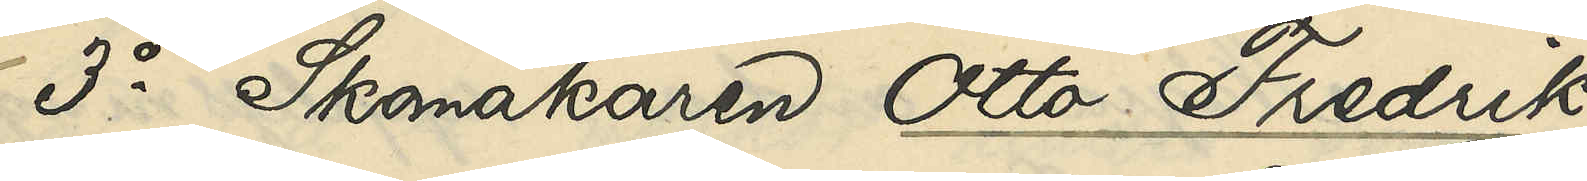3o Skomakaren Otto Fredrik
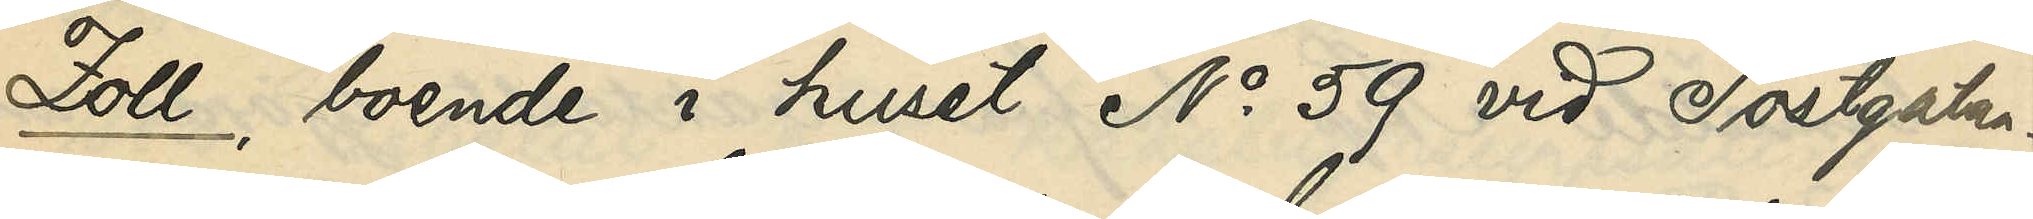Zoll, boende i huset No 59 vid Postgatan:
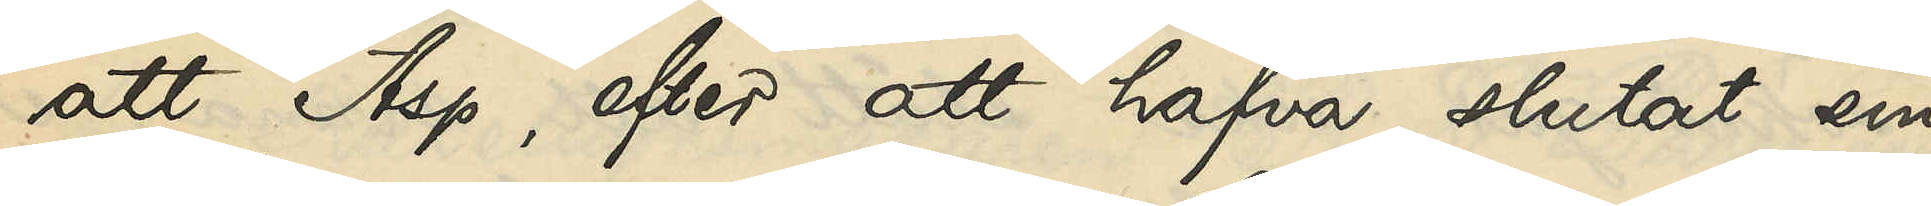att Asp, efter att hafva slutat sin
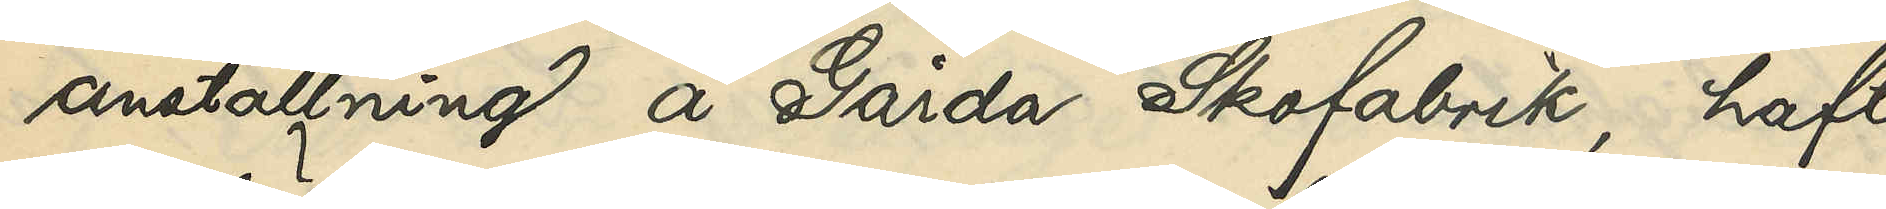anställning å Gårda Skofabrik, haft
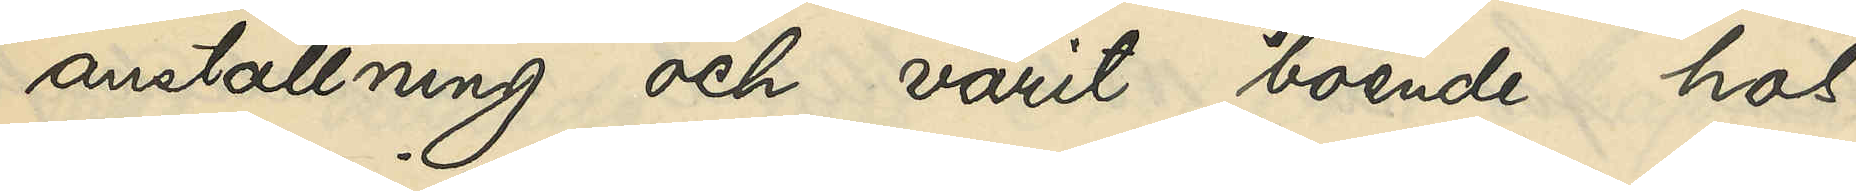anställning och varit boende hos
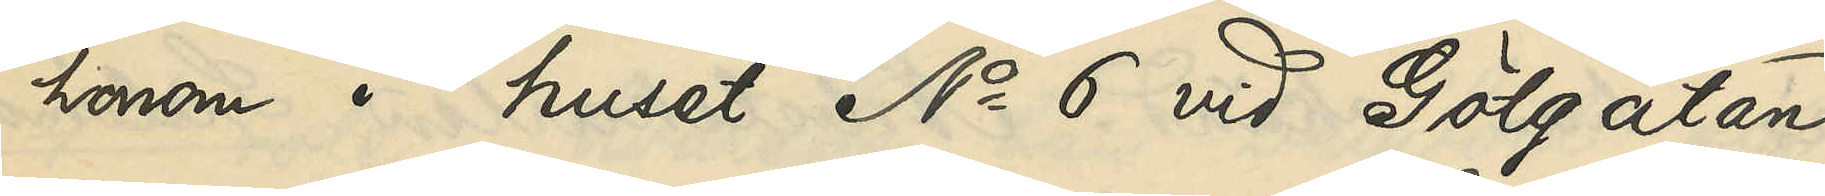honom i huset No 6 vid Götgatan
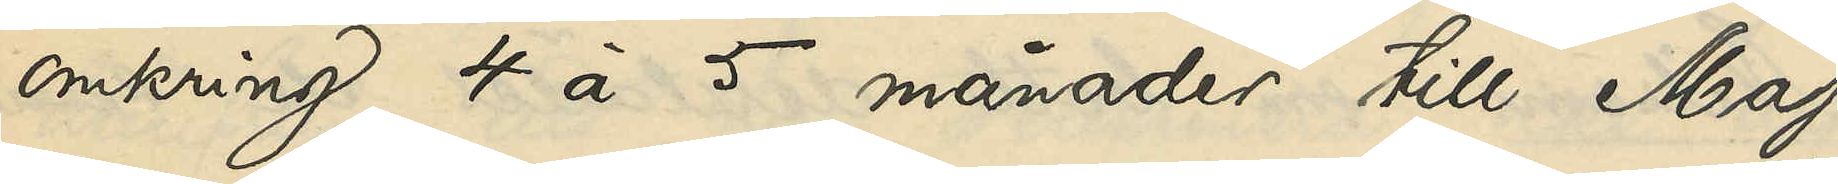omkring 4 à 5 månader till Maj
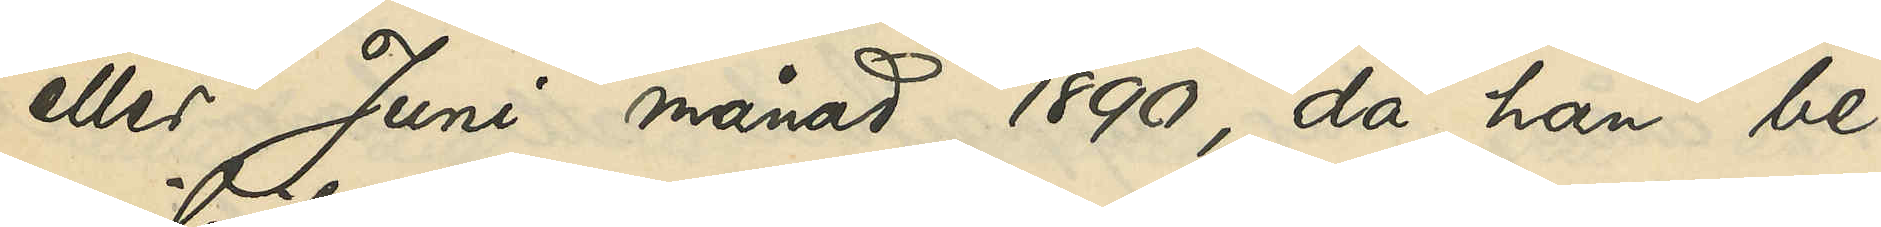eller Juni månad 1890, då han be¬
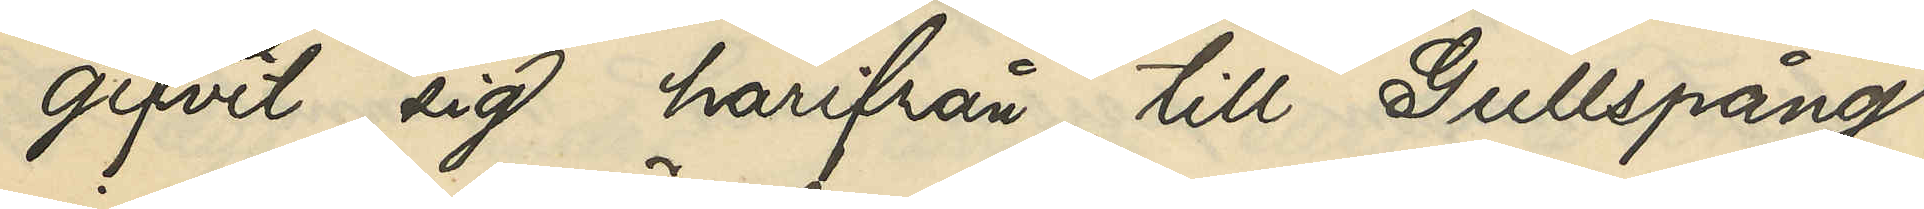gifvit sig härifrån till Gullspång
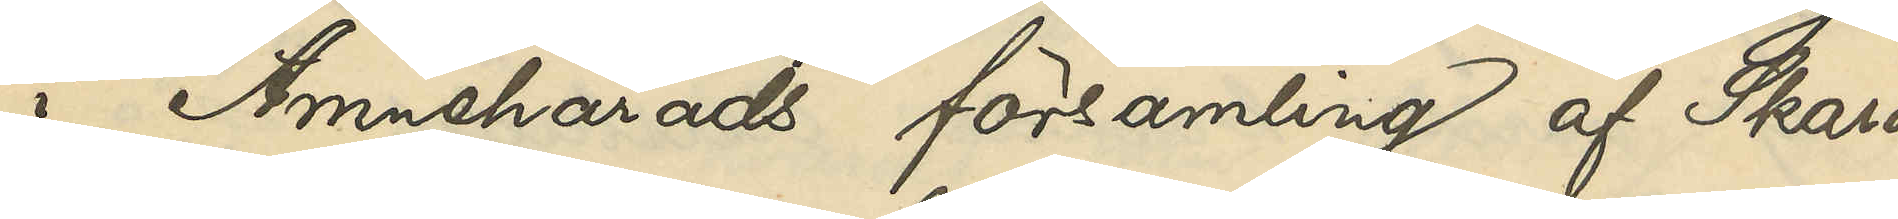i Amnehärads församling af Skara¬
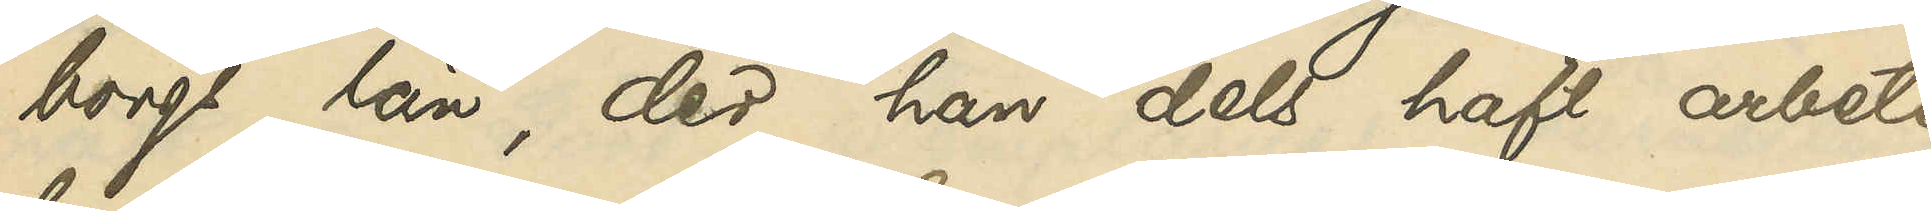borgs län, der han dels haft arbete
